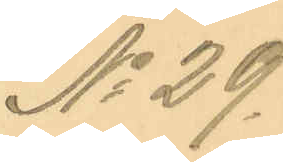No 29.
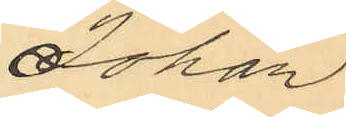Johan
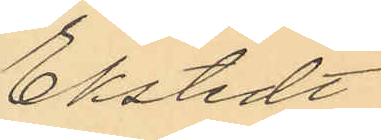Ekstedt
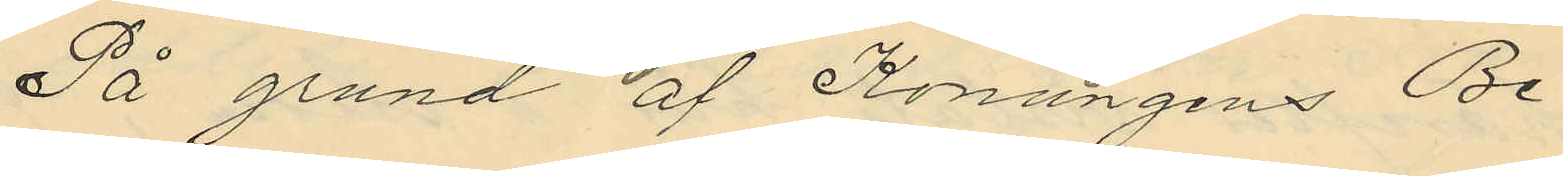På grund af Konungens Be¬
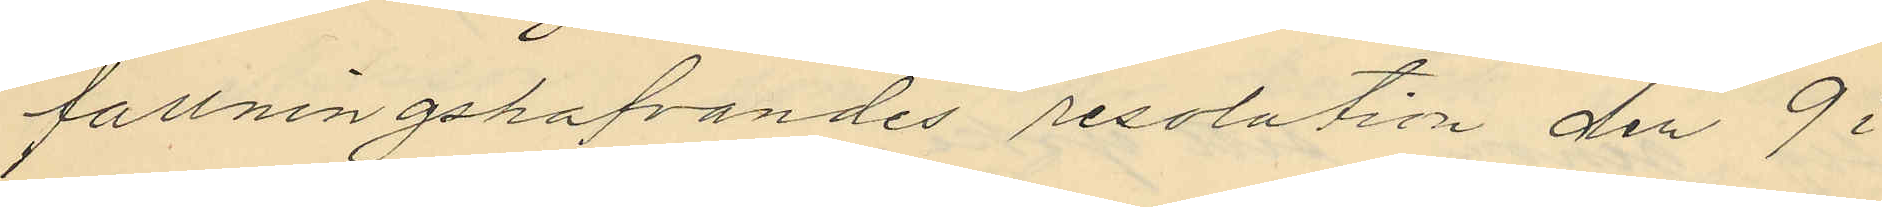fallningshafvandes resolution den 9 i
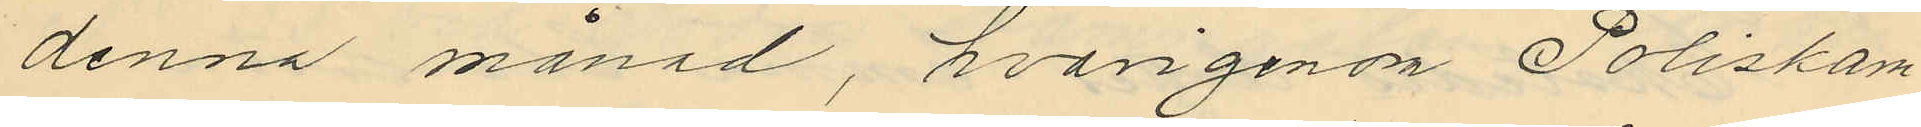denna månad, hvarigenom Poliskam¬
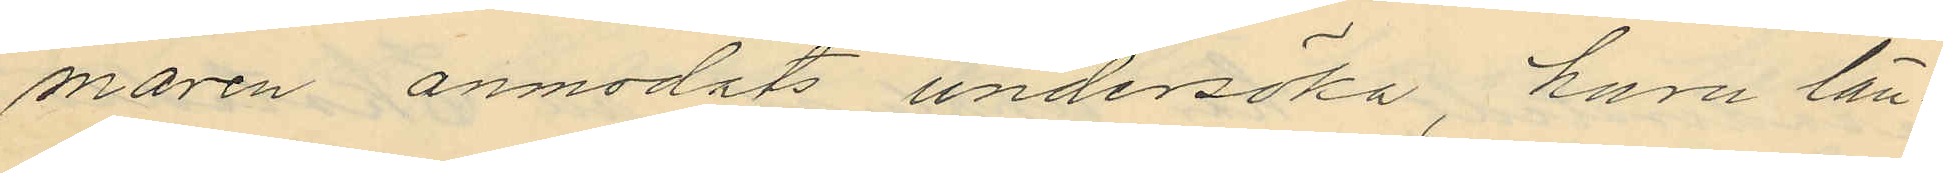maren anmodats undersöka, huru län¬
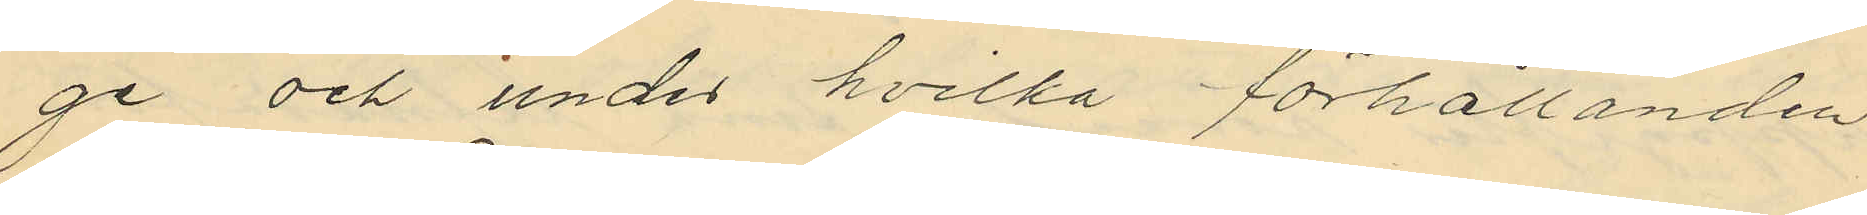ge och under hvilka förhållanden
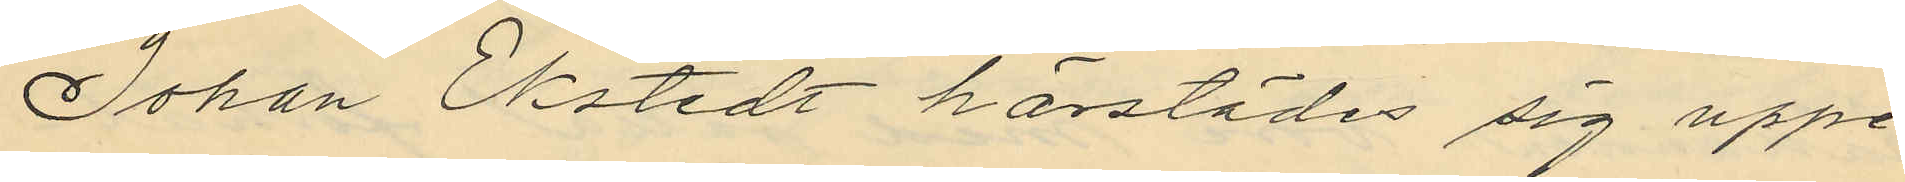Johan Ekstedt härstädes sig uppe¬
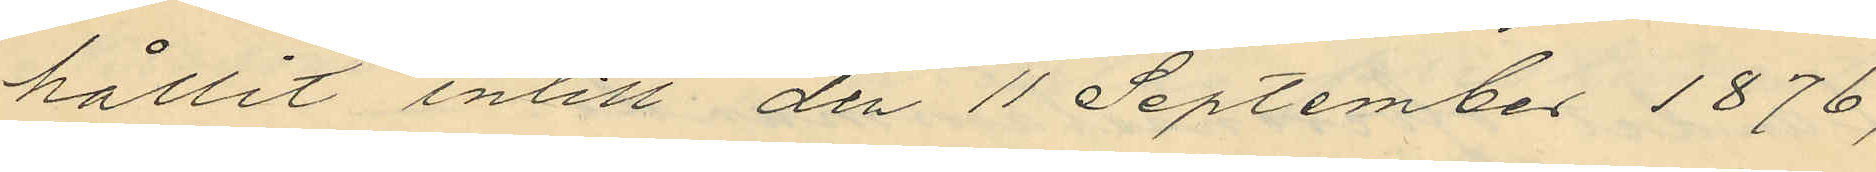hållit intill den 11 September 1876,
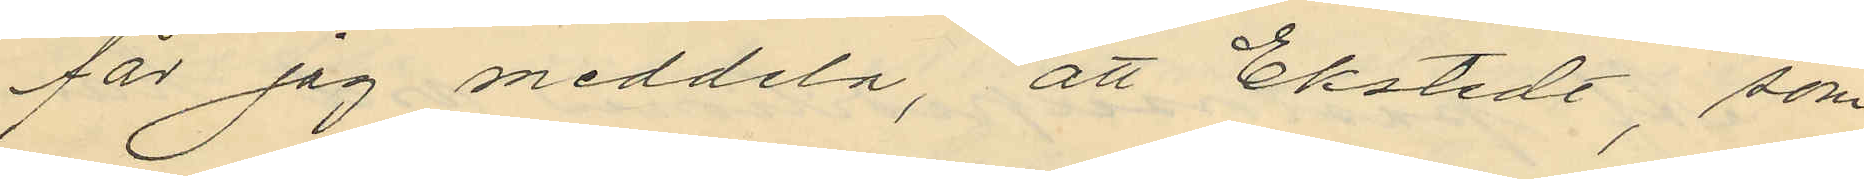får jag meddela, att Ekstedt, som
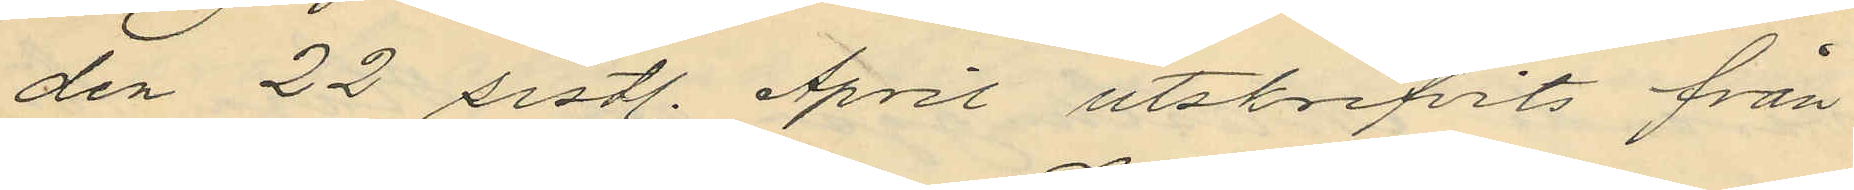den 22 sistl. April utskrifvits från
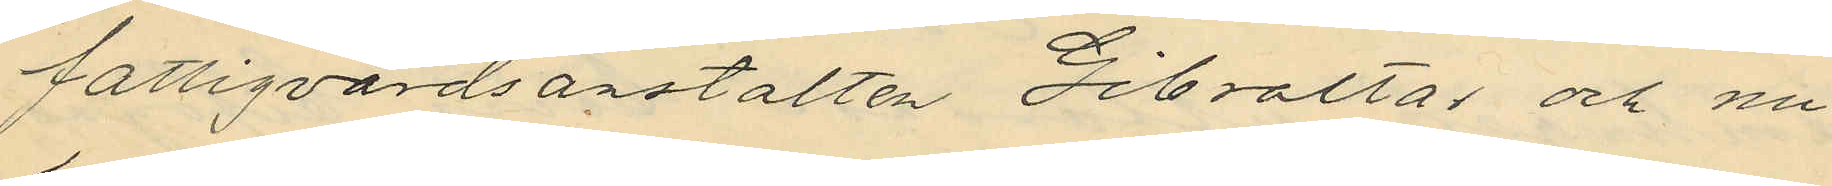fattigvårdsanstalten Gibraltar och nu
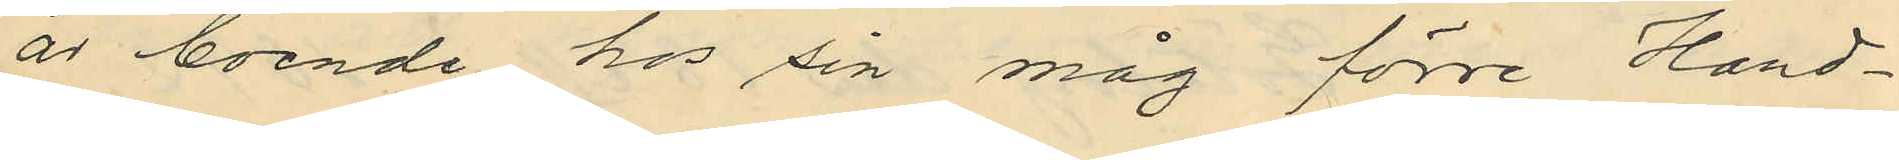är boende hos sin måg förre Hand¬
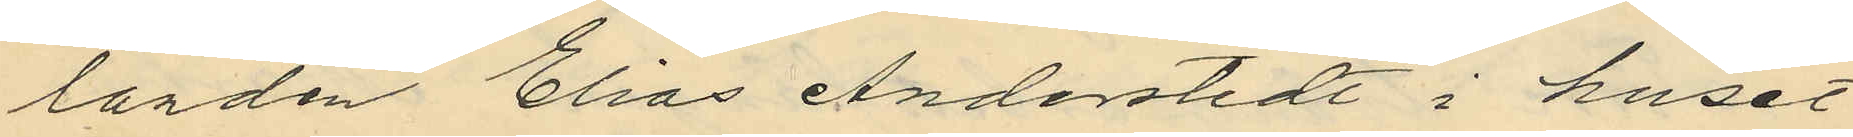landen Elias Anderstedt i huset
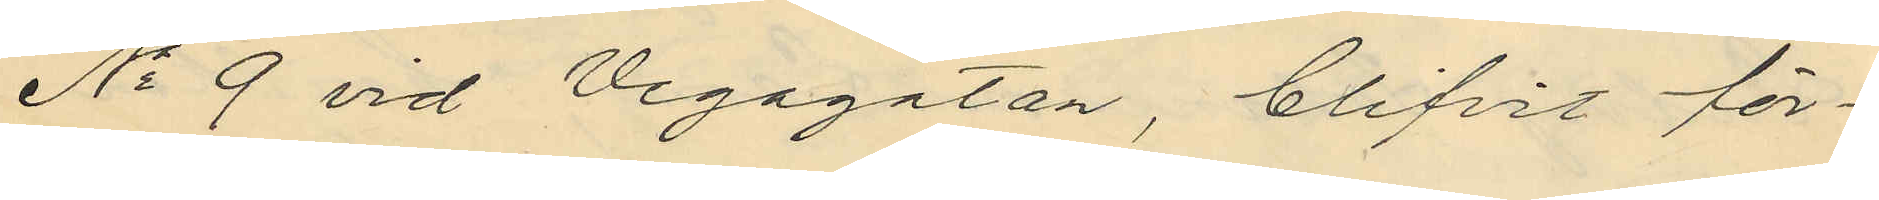No 9 vid Vegagatan, blifvit för¬
